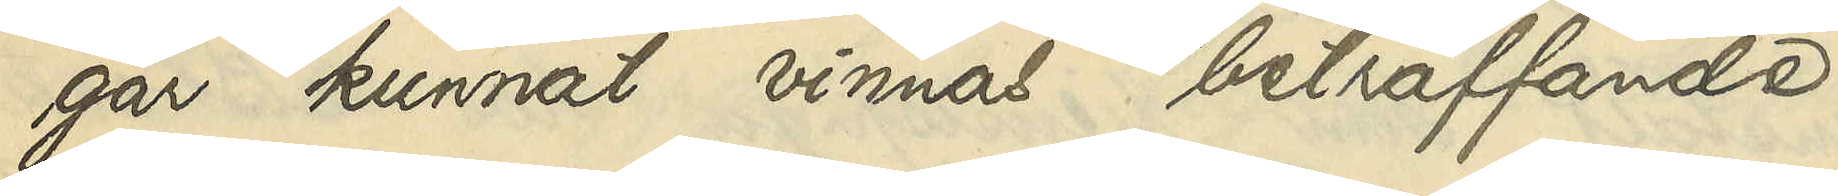gar kunnat vinnas beträffande
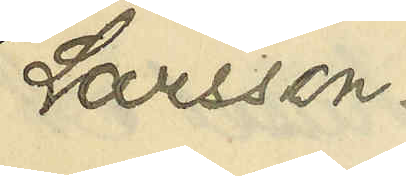Larsson.
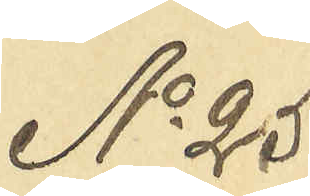No 25
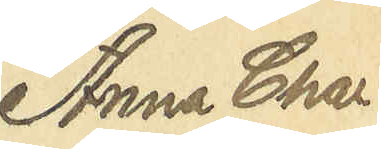Anna Char¬
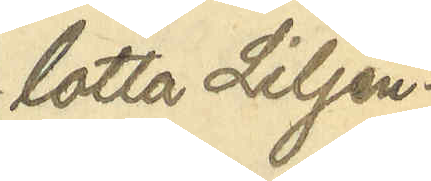lotta Liljen¬
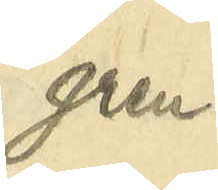gren
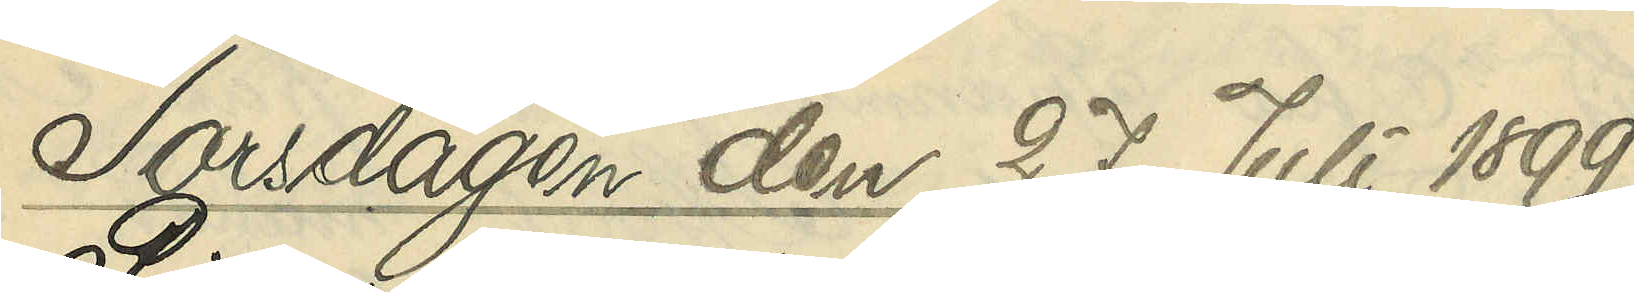Torsdagen den 27 Juli 1899.
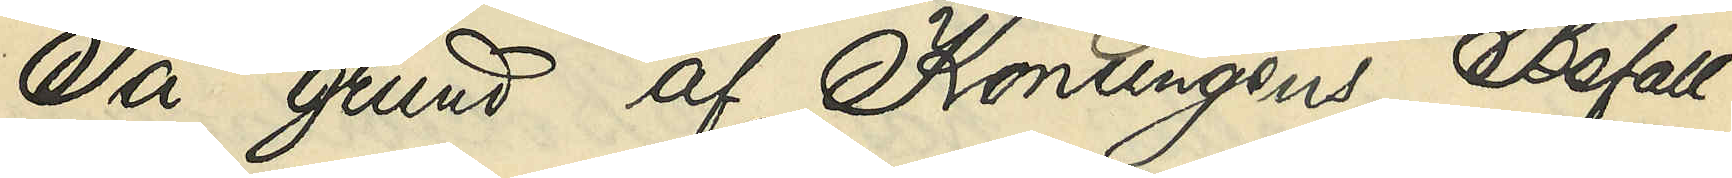På grund af Konungens Befall¬
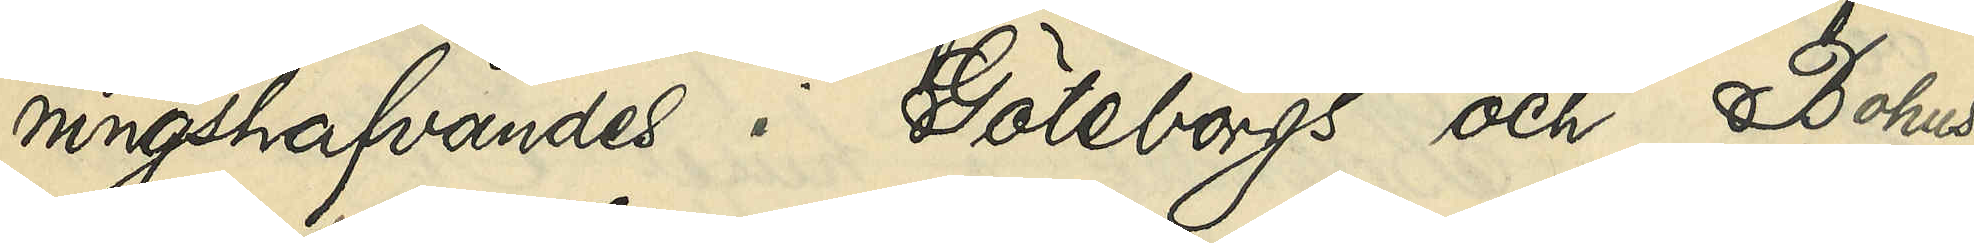ningshafvandes i Göteborgs och Bohus
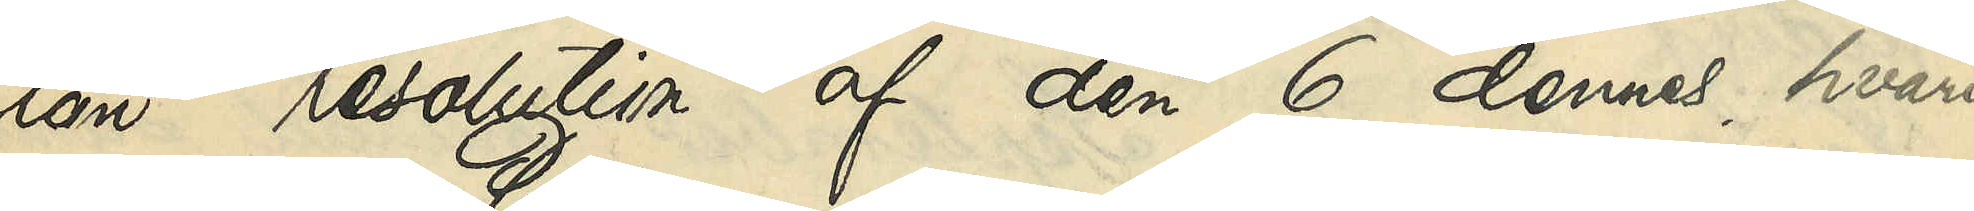län resolution af den 6 dennes, hvari¬
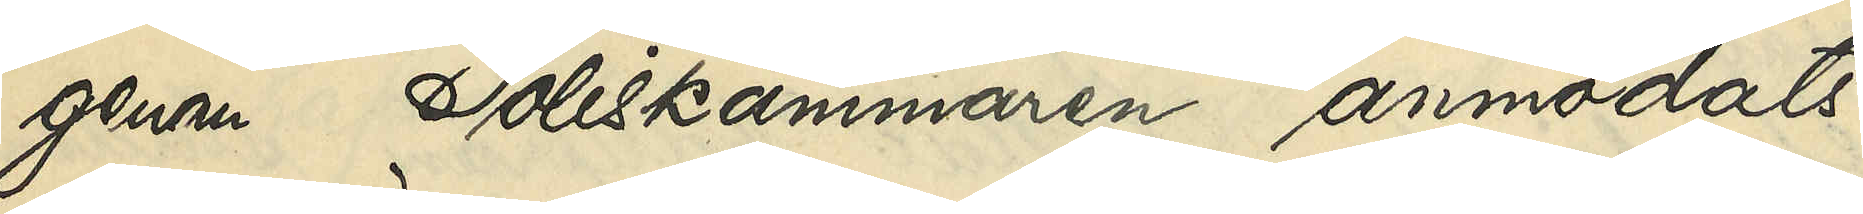genom Poliskammaren anmodats
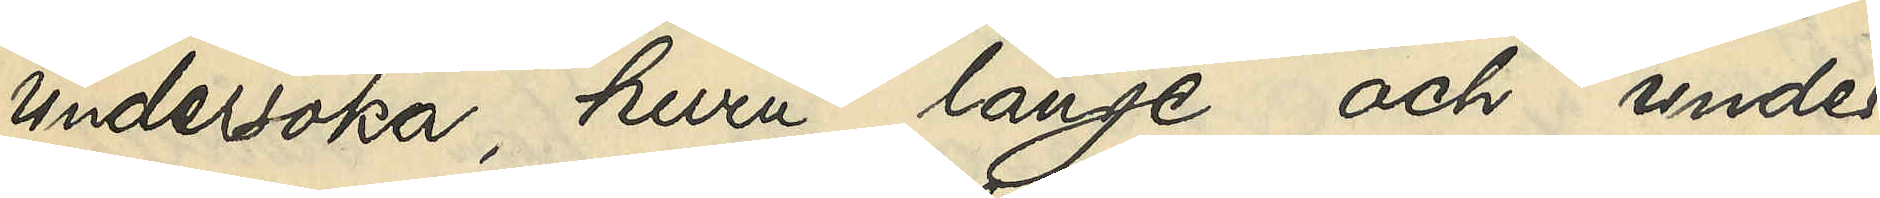undersöka, huru länge och under 
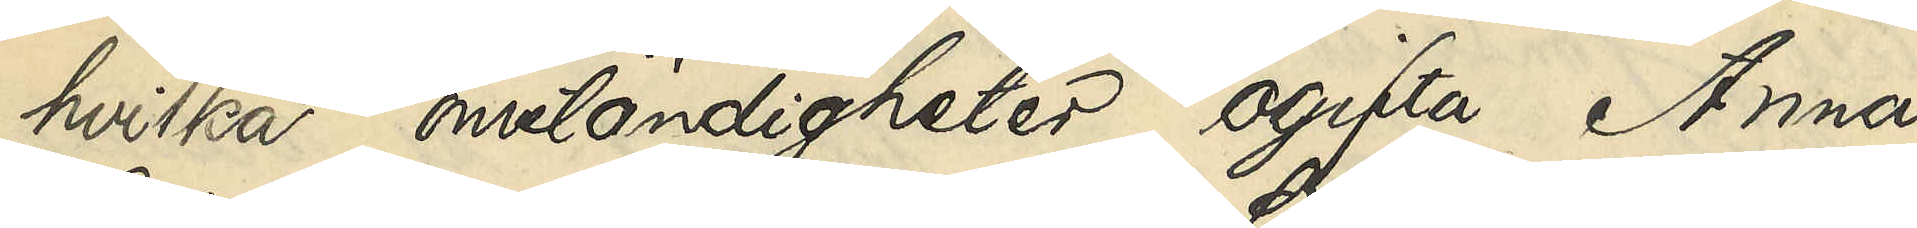hvilka omständigheter ogifta Anna
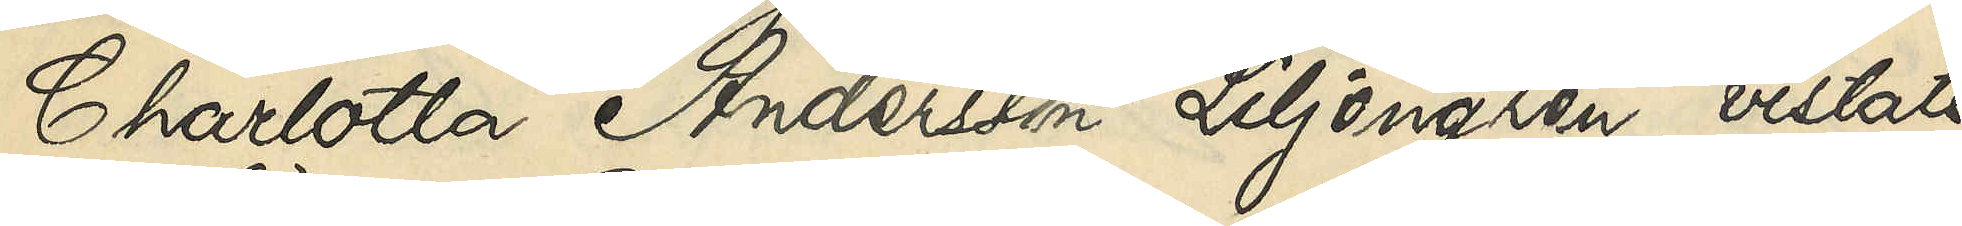Charlotta Andersson Liljengren vistats
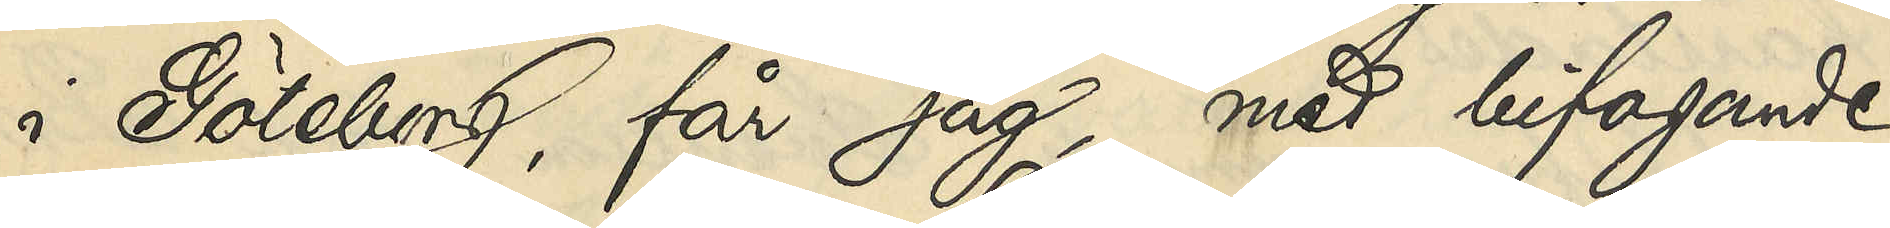i Göteborg, får jag, med bifogande
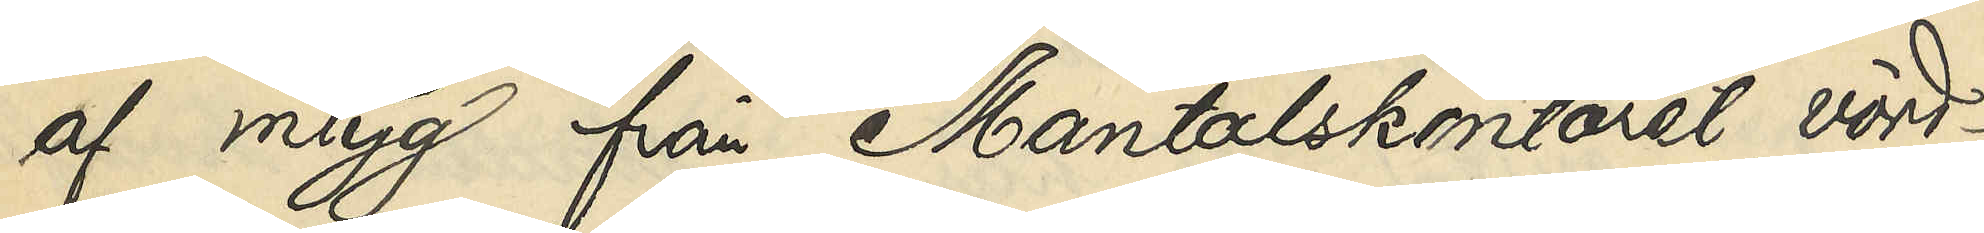af intyg från Mantalskontoret, vörd¬
